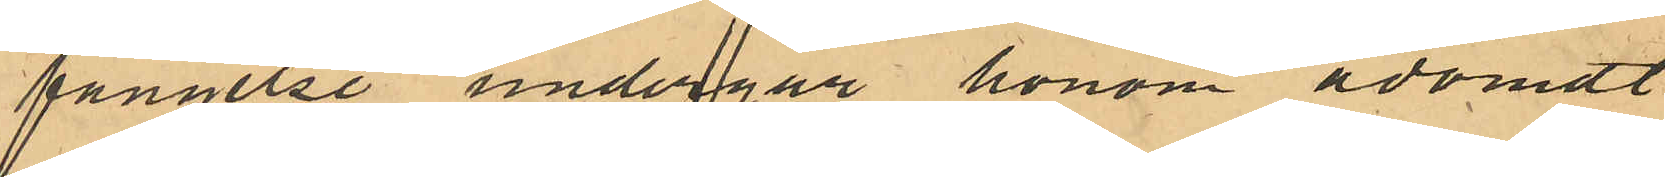fängelse undergår honom ådömdt
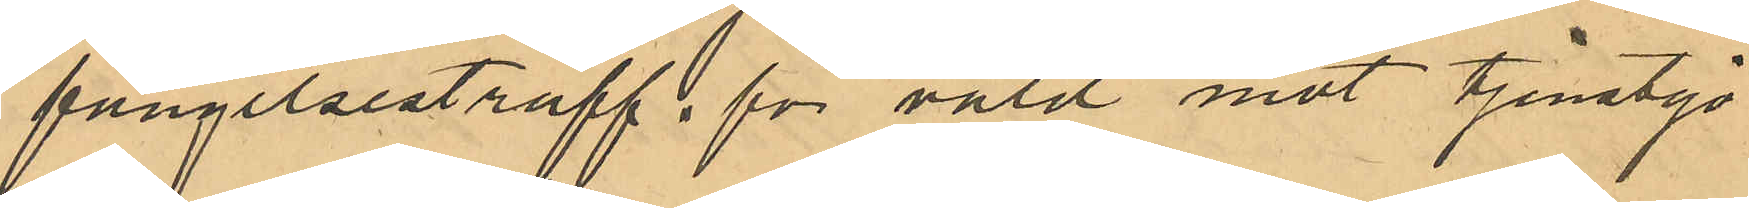fängelsestraff för våld mot tjänstgö¬
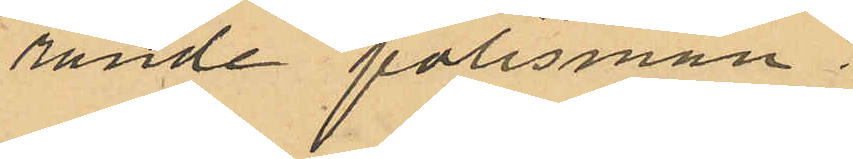rande polisman
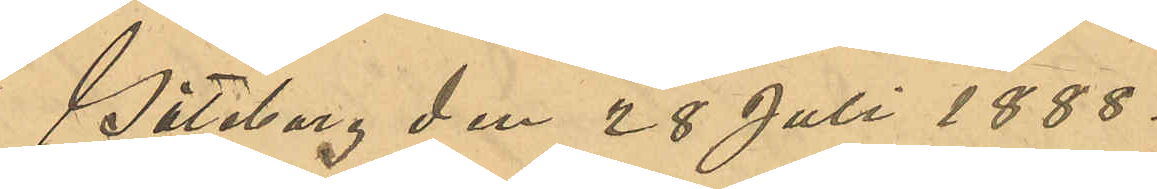Göteborg den 28 Juli 1888.
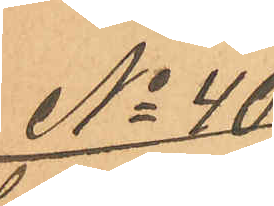No 40
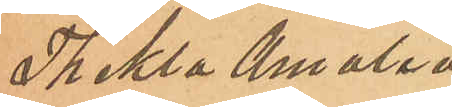Thekla Amalia
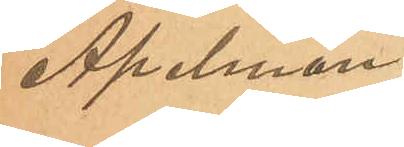Apelman.
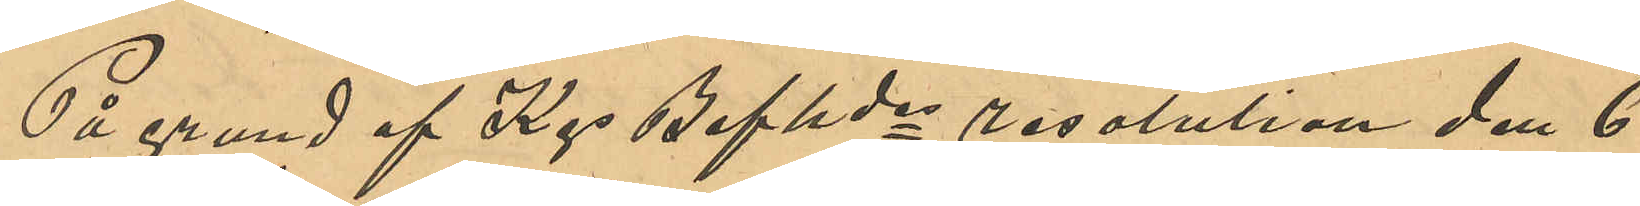På grund af Kgs Befhdes resolution den 6
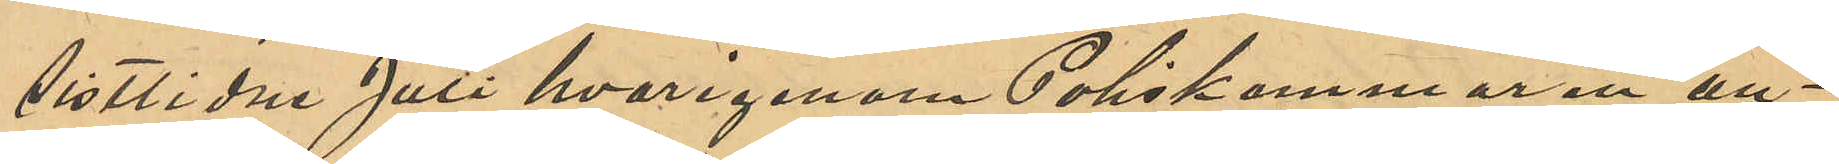sistlidne Juli hvarigenom Poliskammaren an¬
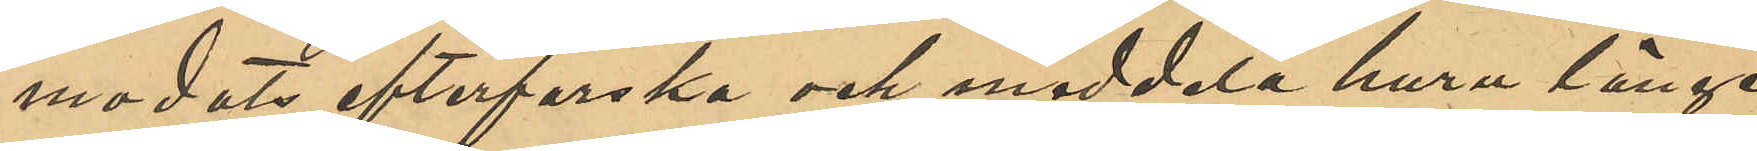modats efterforska och meddela huru länge
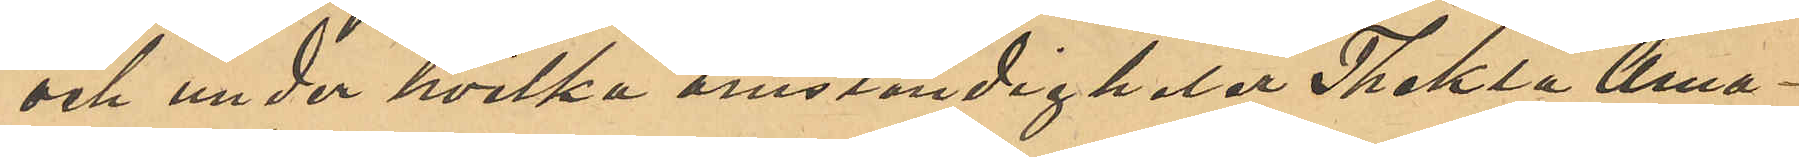och under hvilka omständigheter Thekla Ama¬
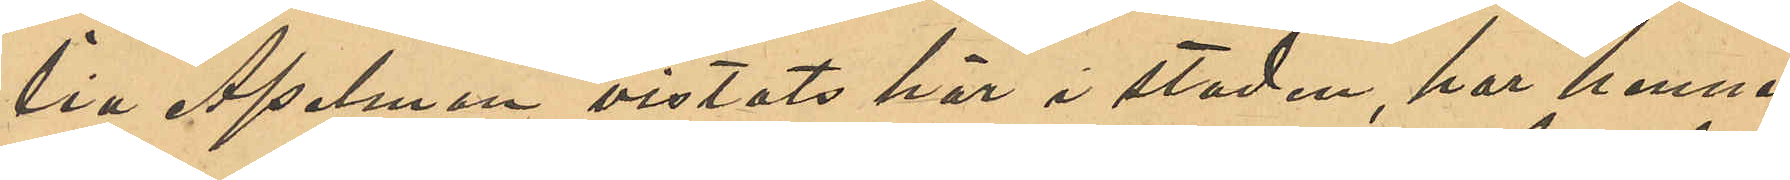lia Apelman vistats här i staden, har hennes
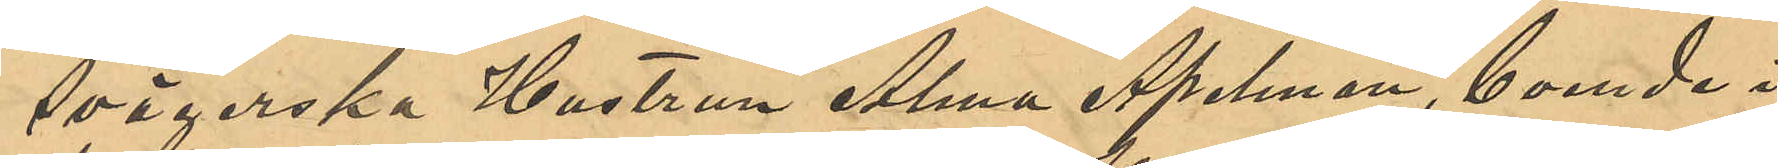svägerska Hustrun Alma Apelman, boende i
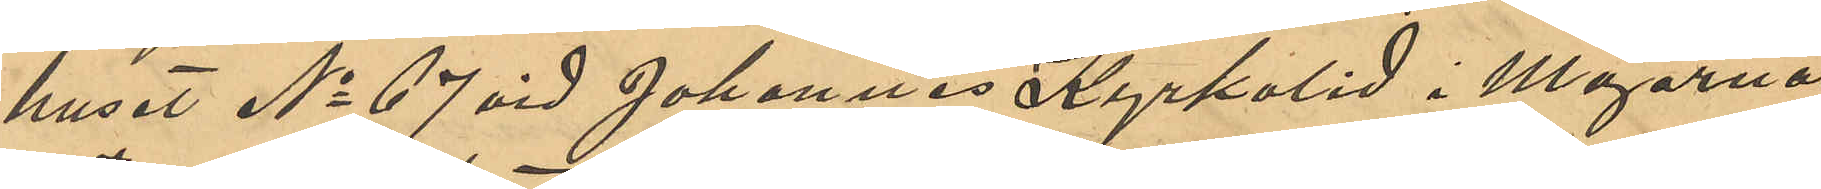huset No 67 vid Johannes Kyrkolid i Majornas
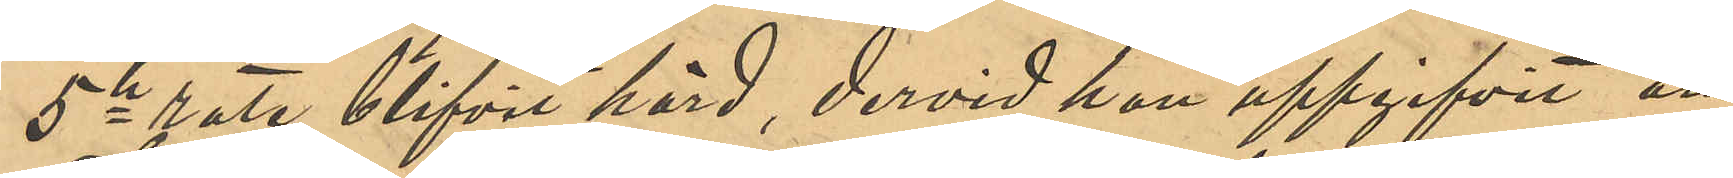5te rote blifvit hörd, dervid hon uppgifvit att
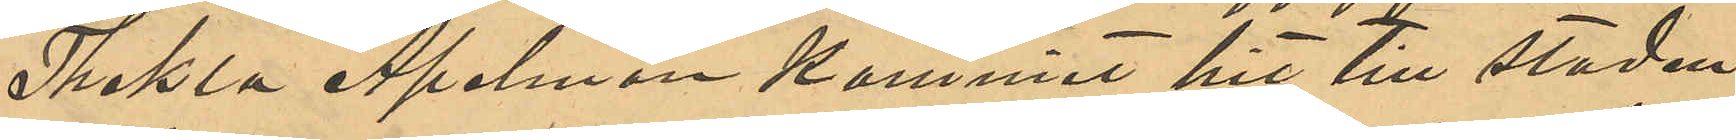Thekla Apelman kommit hit till staden
